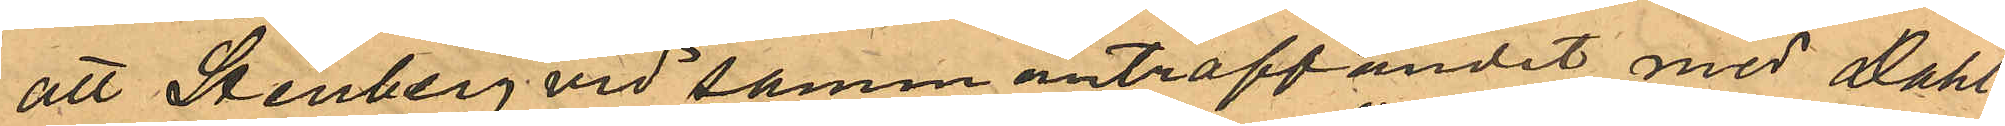att Stenberg vid sammanträffandet med Dahl¬
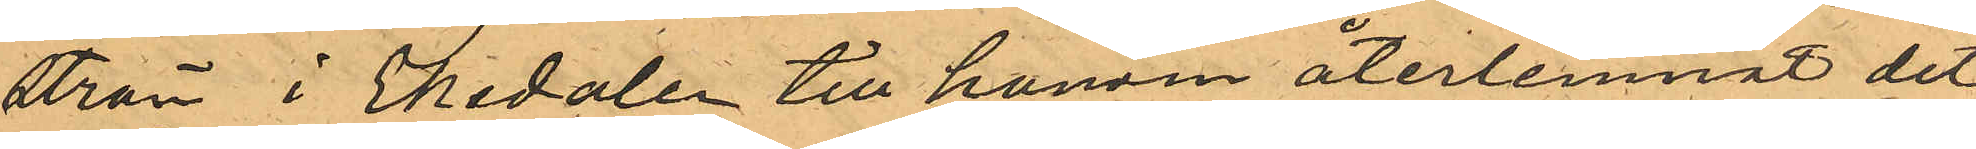ström i Ekedalen till honom återlemnat det
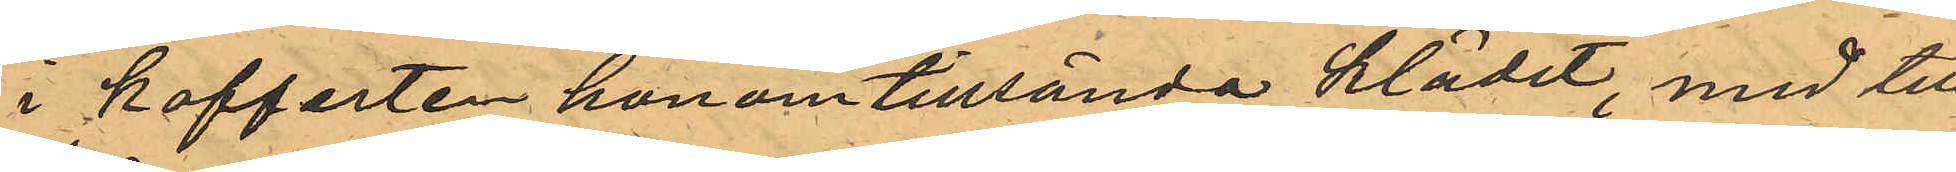i kofferten honom tillsända klädet, med till¬
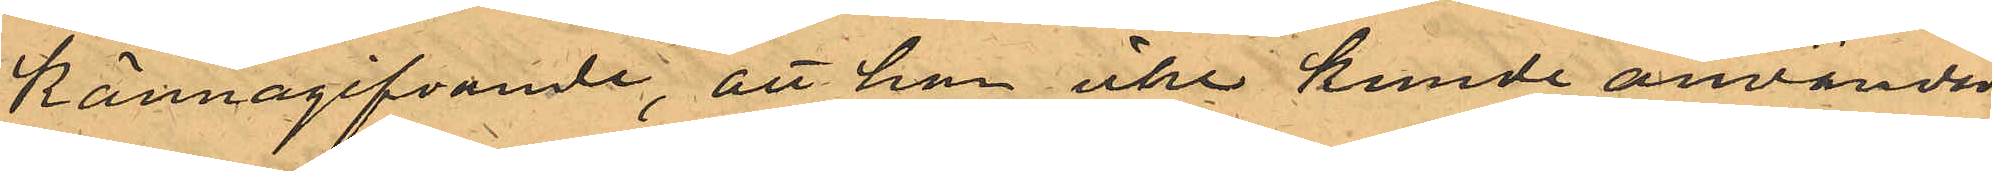kännagifvande, att han icke kunde använda
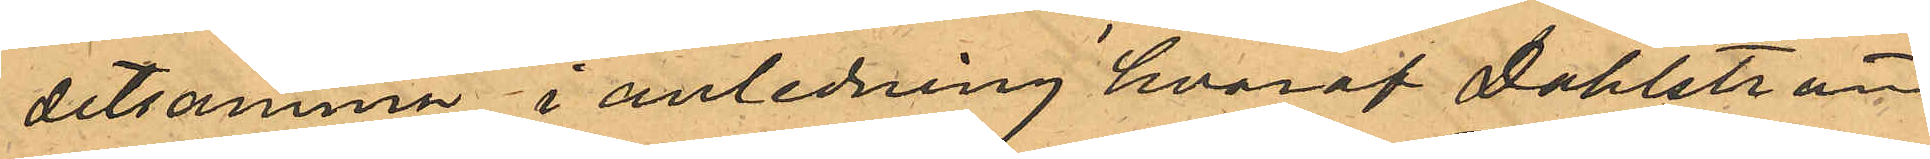detsamma, i anledning hvaraf Dahlström
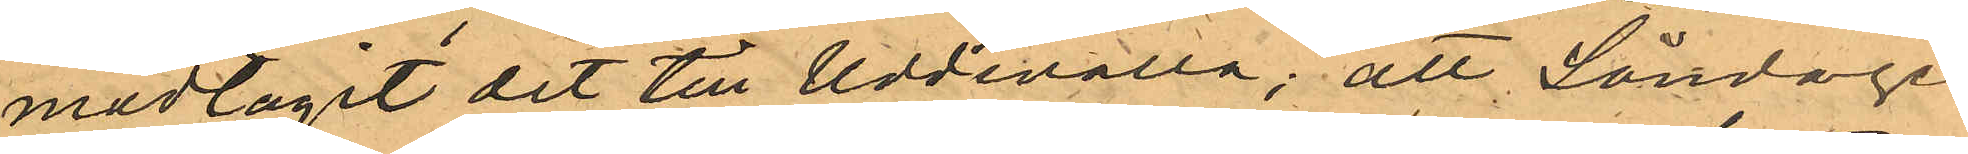medtagit det till Uddevalla; att Söndagen
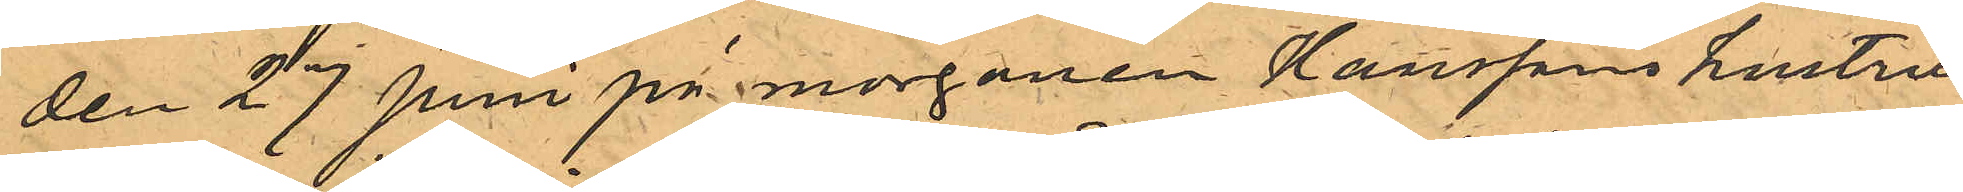den 27 Juni på morgonen Hanssons hustru
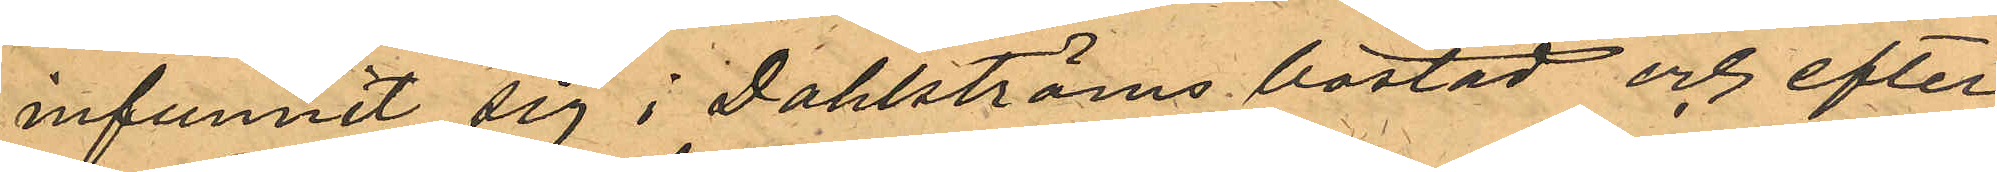infunnit sig i Dahlströms bostad och efter
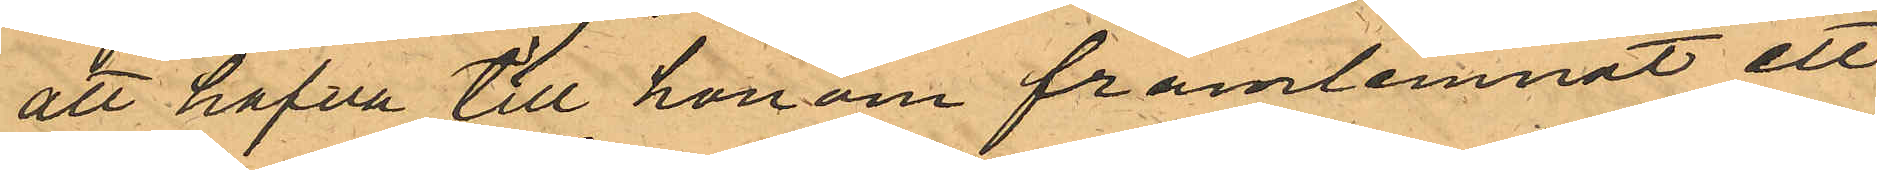att hafva till honom framlemnat ett
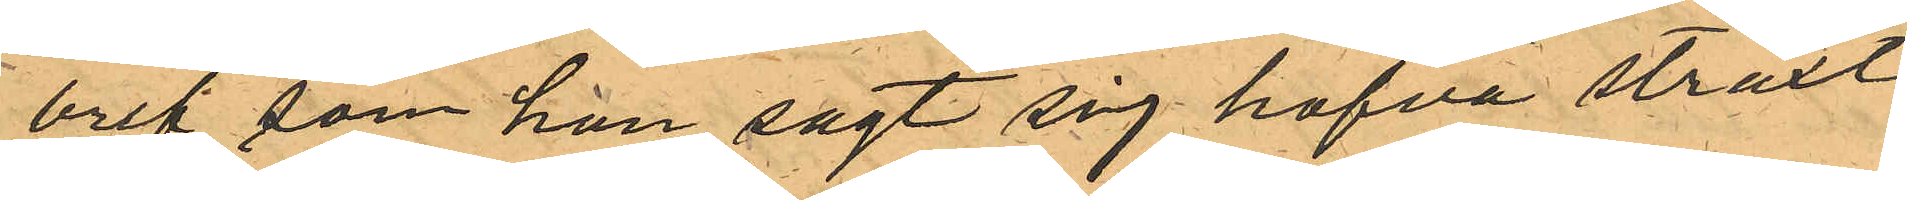bref, som hon sagt sig hafva straxt
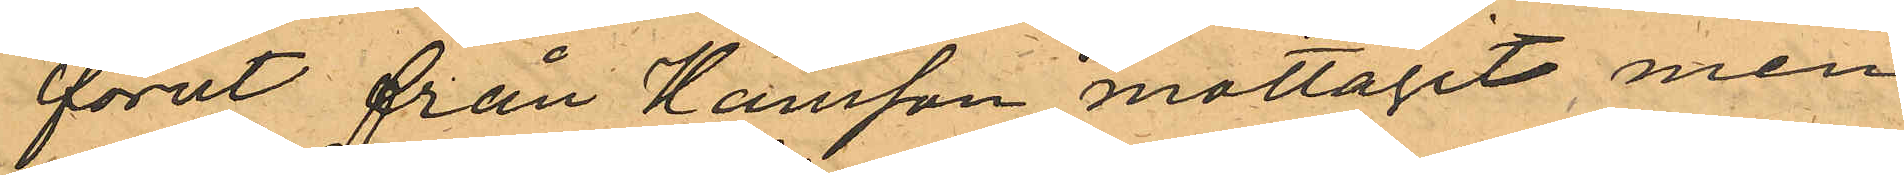förut från Hansson mottagit men
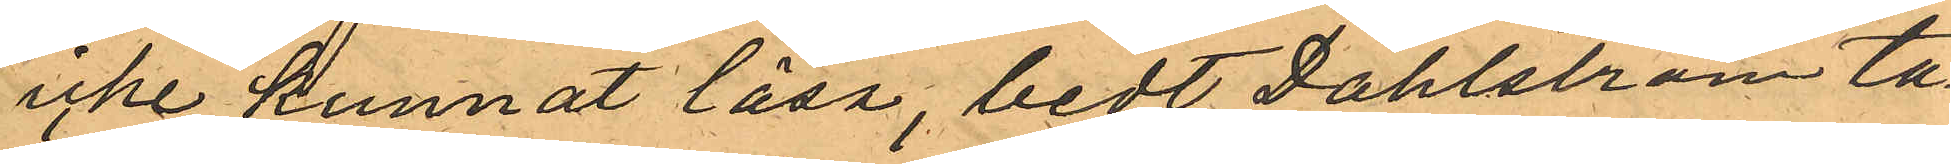icke kunnat läsa, bedt Dahlström ta¬
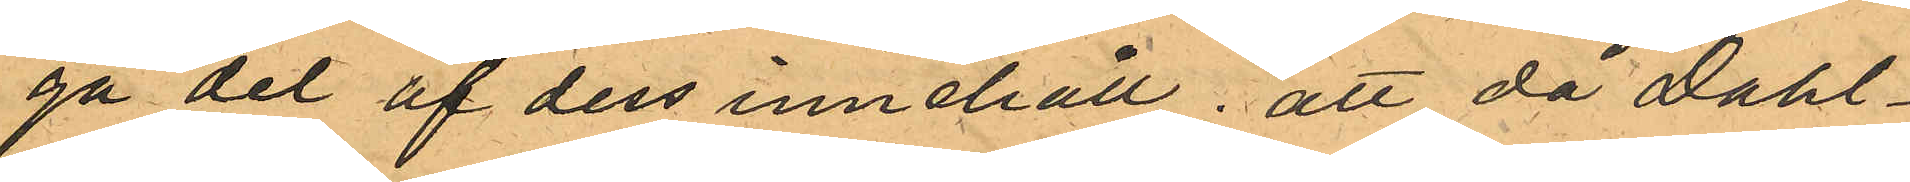ga del af dess innehåll; att då Dahl¬
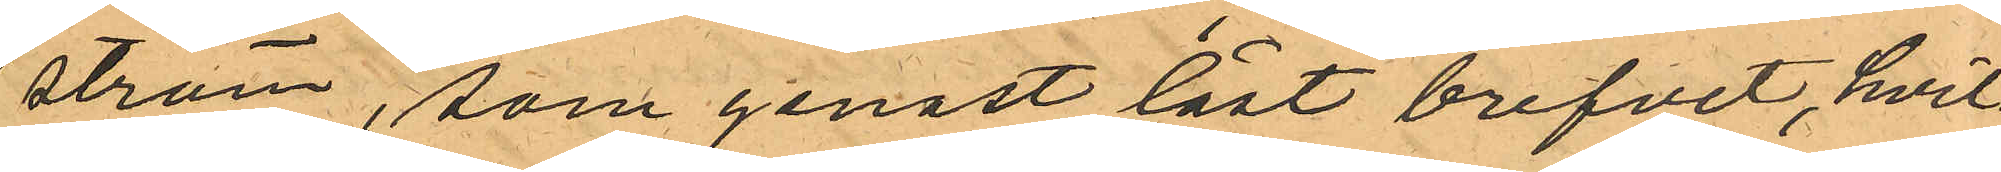ström, som genast läst brefvet, hvil¬
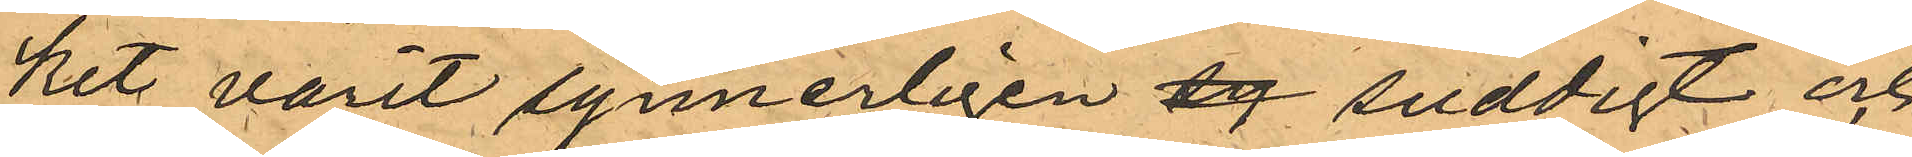kit varit synnerligen sg suddigt och
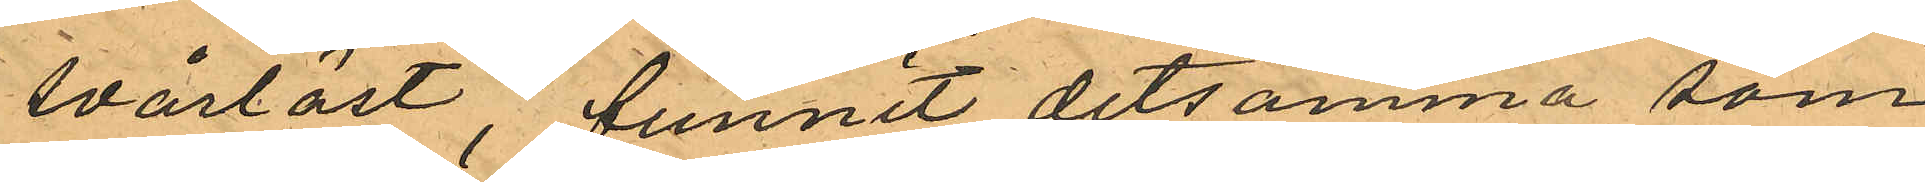svårläst, funnit detsamma som
